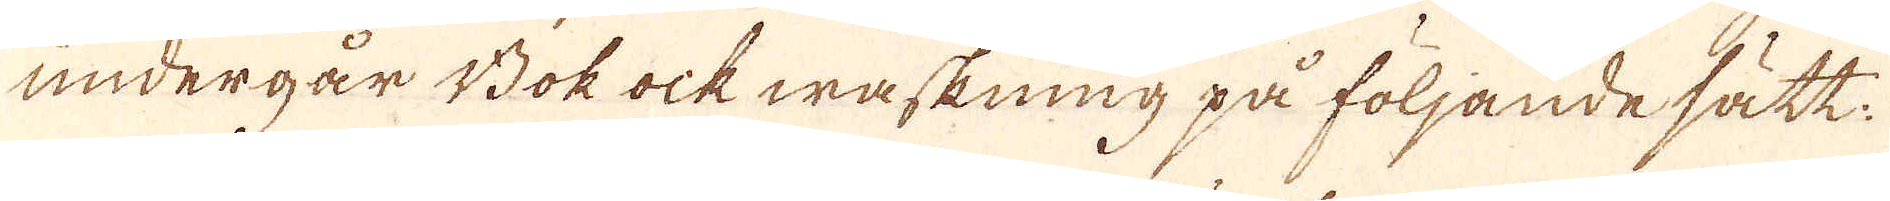undergår Bok ock waskning på följande sätt:
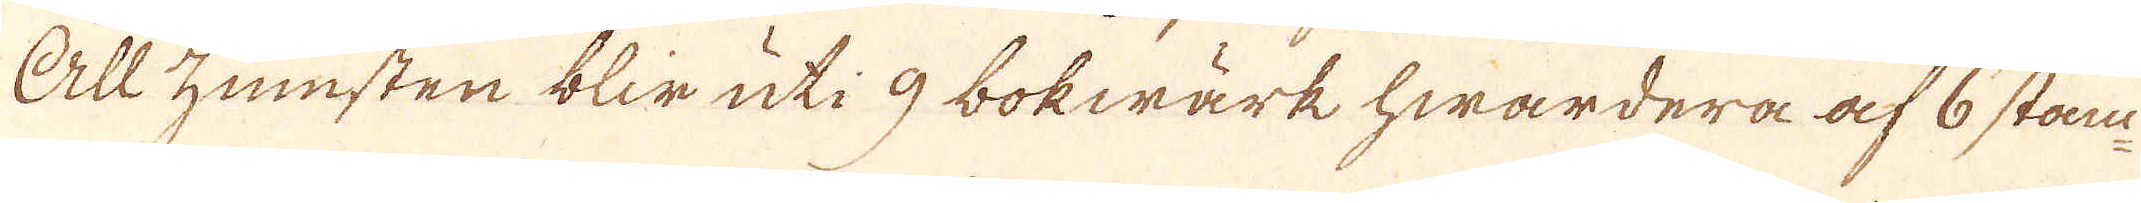All zumsten blir uti 9 bokwärk hwardera af 6 stam-
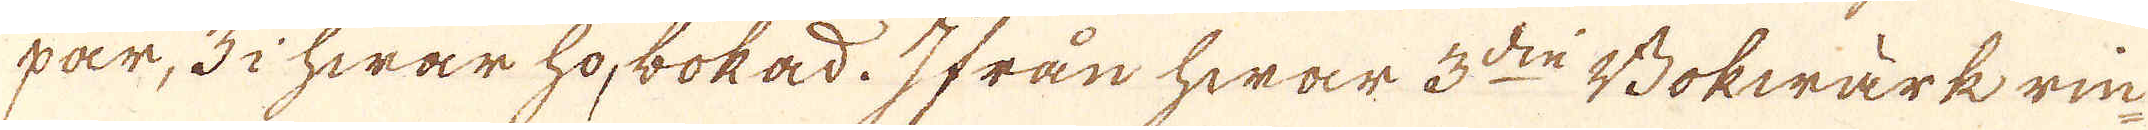rar, 3 i hwar ho, bokad. Ifrån hwar 3:die Bokwärk rin-
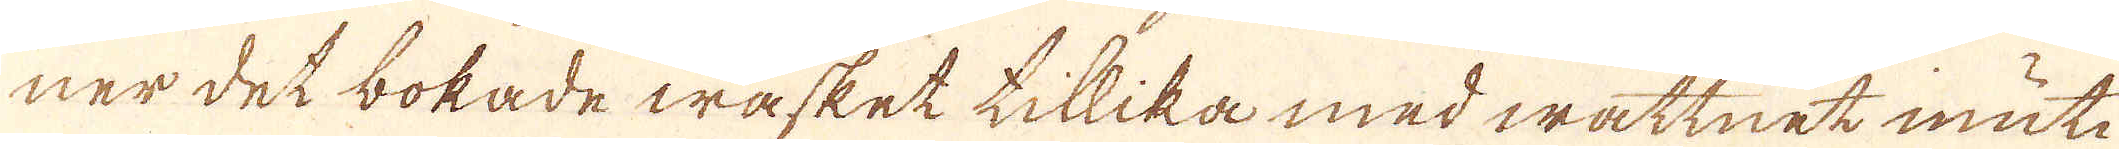ner det bokade wasket tillika med wattnet inuti
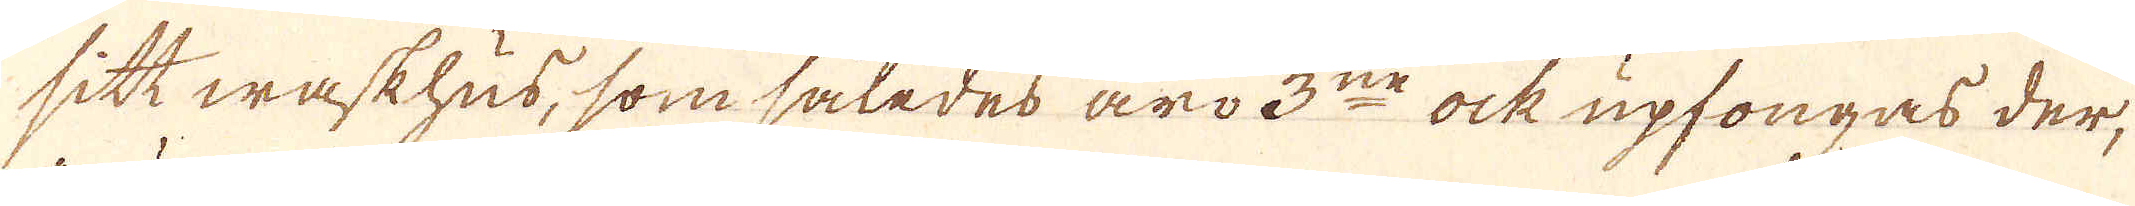sitt waskhus, som således äro 3:ne ock upfongas der,
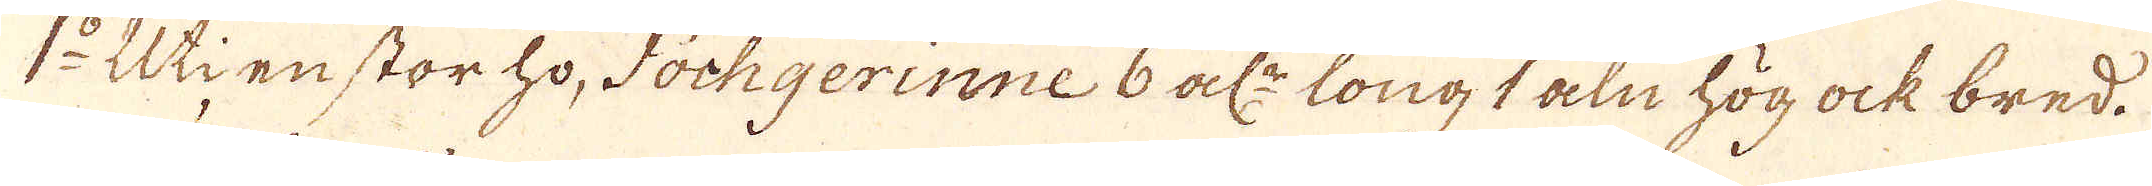1:o Uti en stor ho, Fochgerinne 6 al:r long 1 aln hög ock bred.
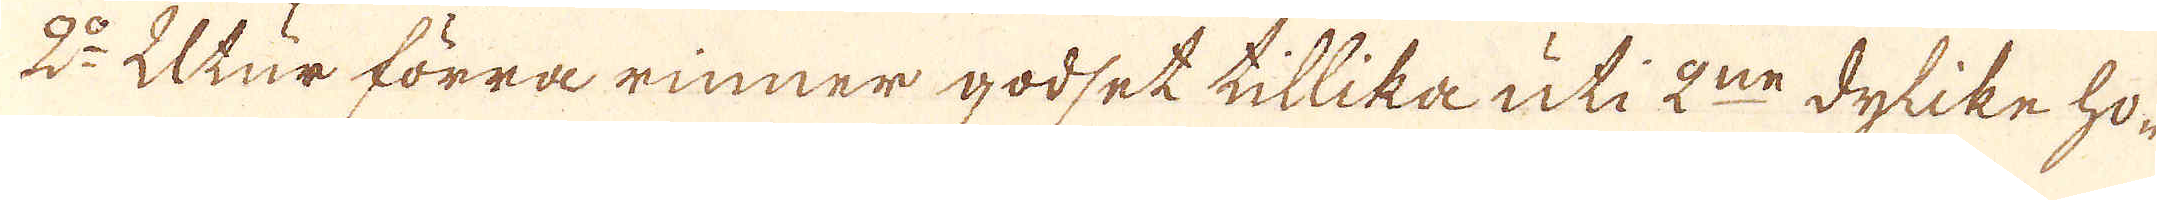2:o Utur förra rinner godset tillika uti 2:ne dylike ho-
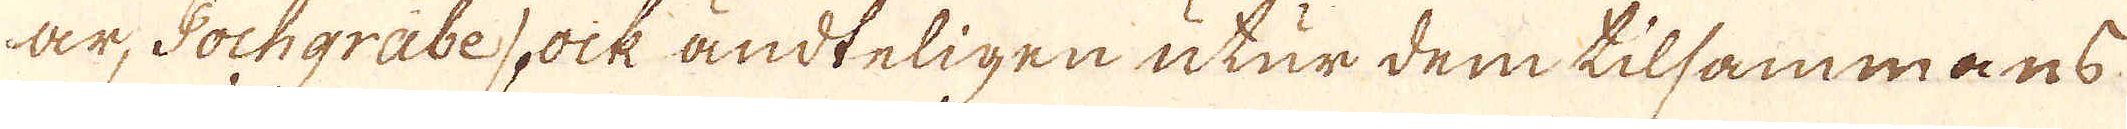ar, Pochgräbe, ock ändteligen utur dem tilsammans
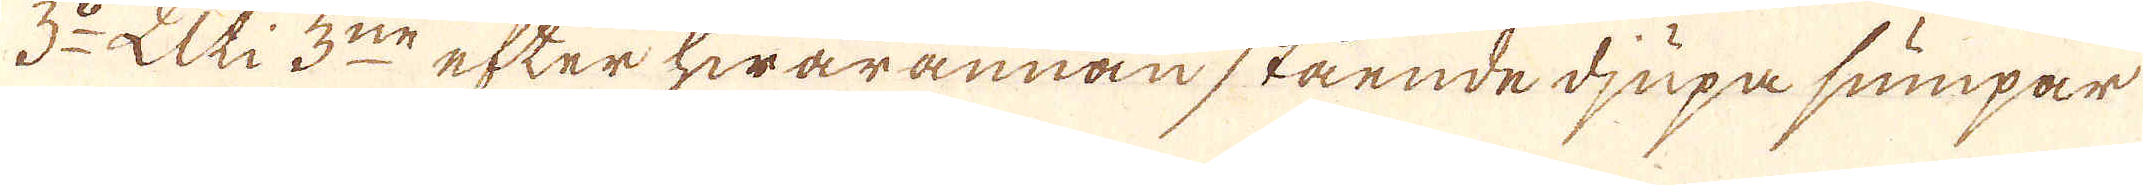3:o Uti 3:ne efter hwarannan stående djupa sumpar
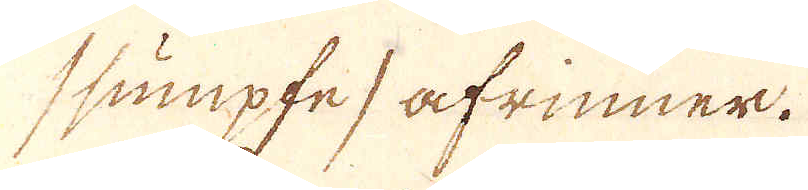/sumpfe/ afrinner.
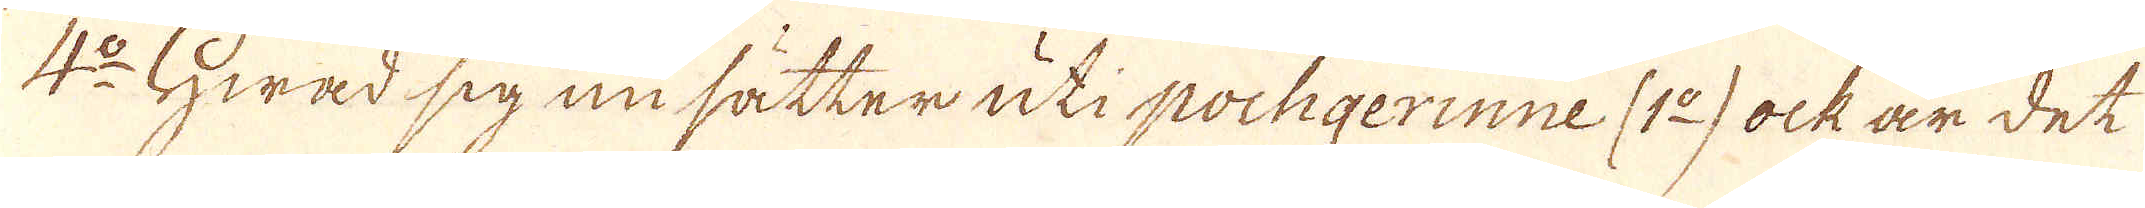4:o Hwad sig nu sätter uti pochgerinne (1:o) ock är det
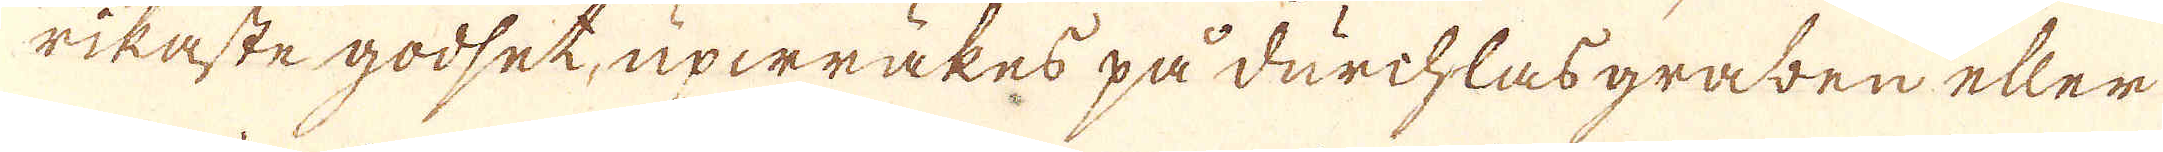rikaste godset, upwräkes på durchlas graben eller
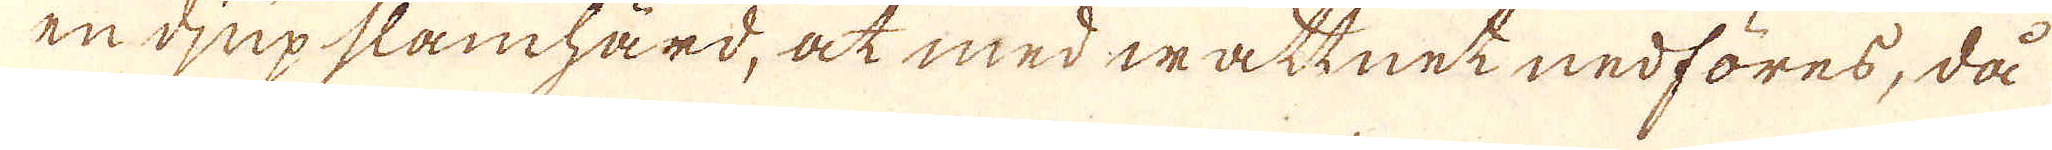en djup slamhärd, at med wattnet nedföres, då
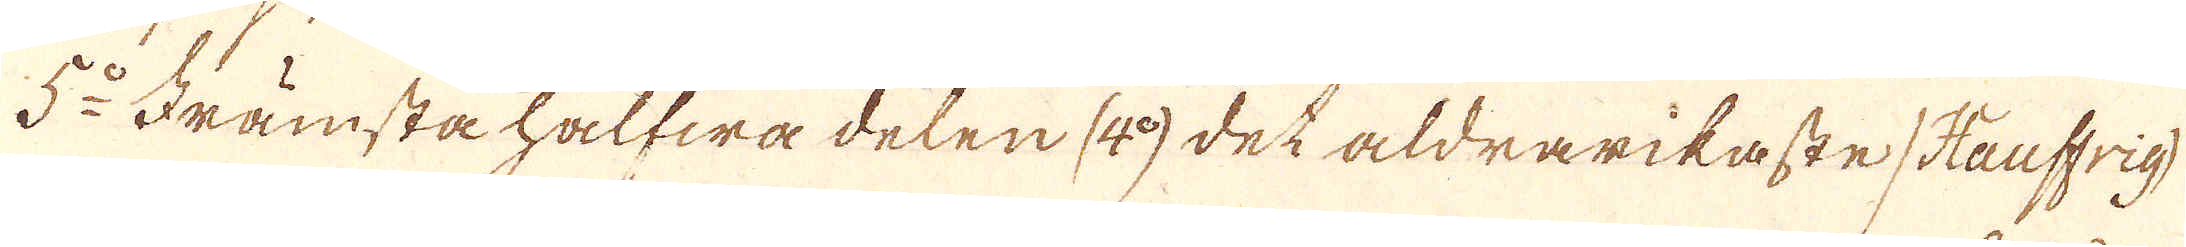5:o Främsta halfwa deten (4:o) det aldra rikaste /Häuffrig/
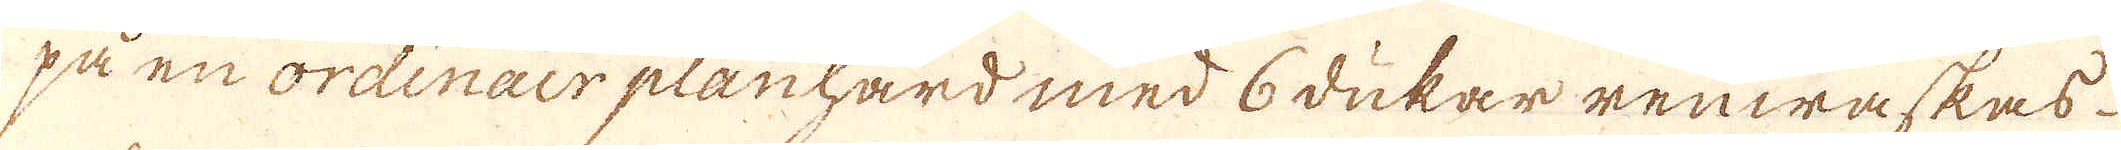på en ordinair planhärd med 6 dukar renwaskas
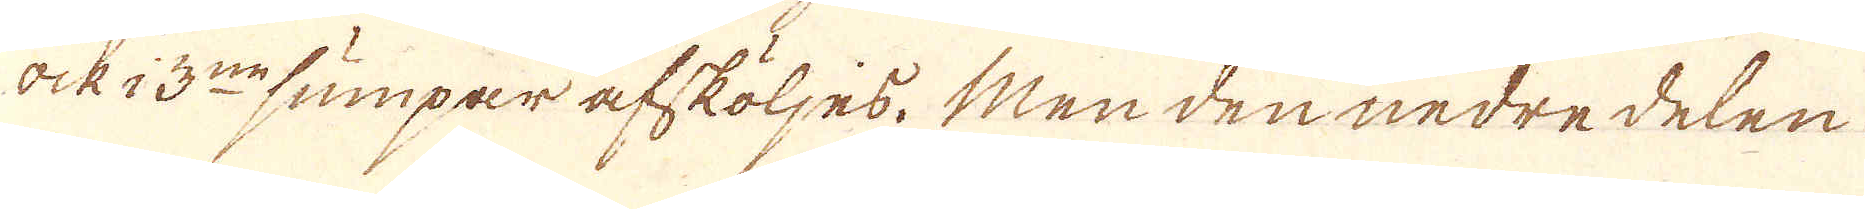ock i 3:ne sumpar afsköljes. Men den nedredelen
